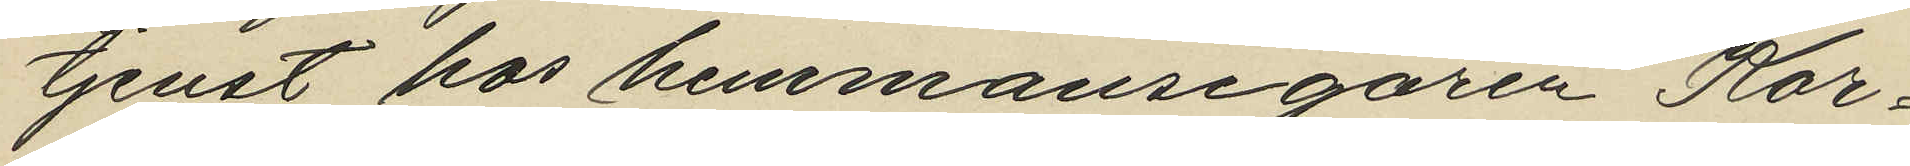tjenst hos hemmansegaren Kor¬
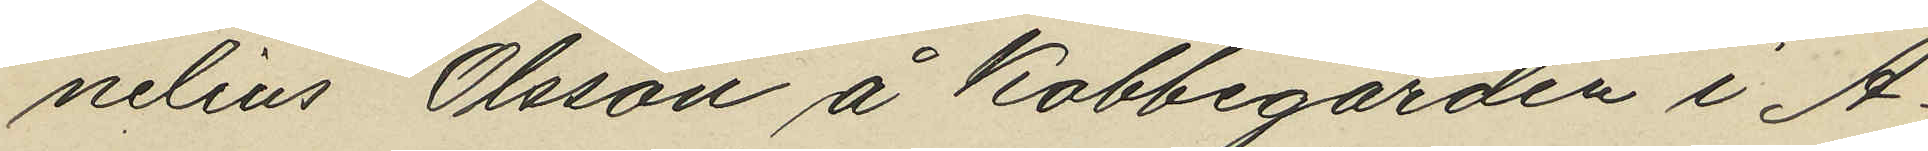nelius Olsson å Kobbegården i A¬
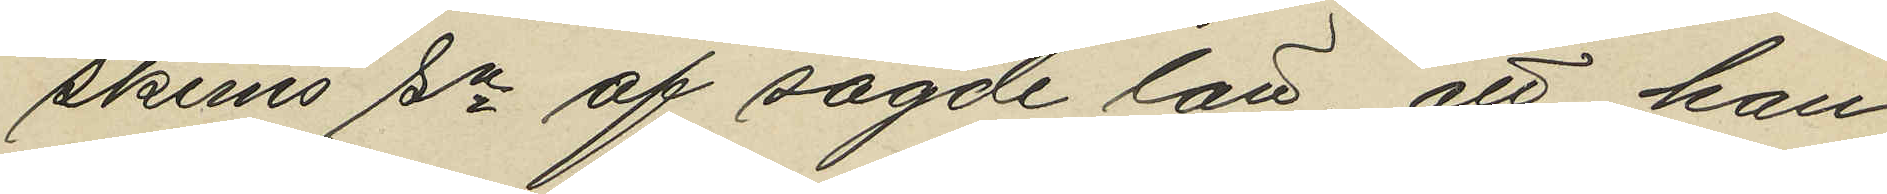skims sn af sagde län, att han
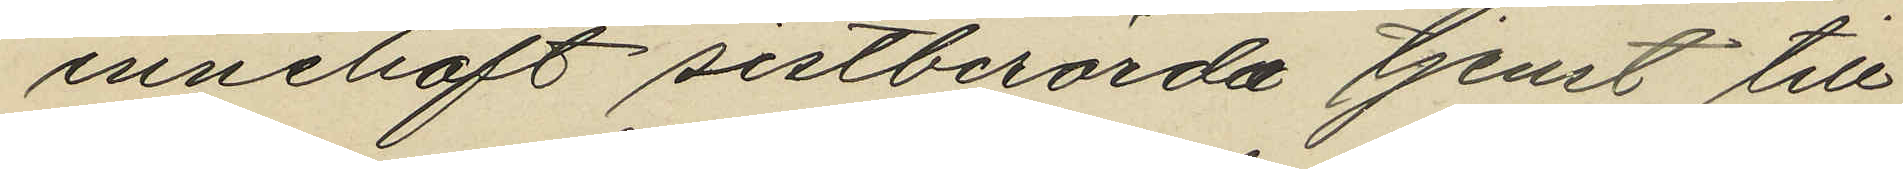innehaft sistberörda tjenst till
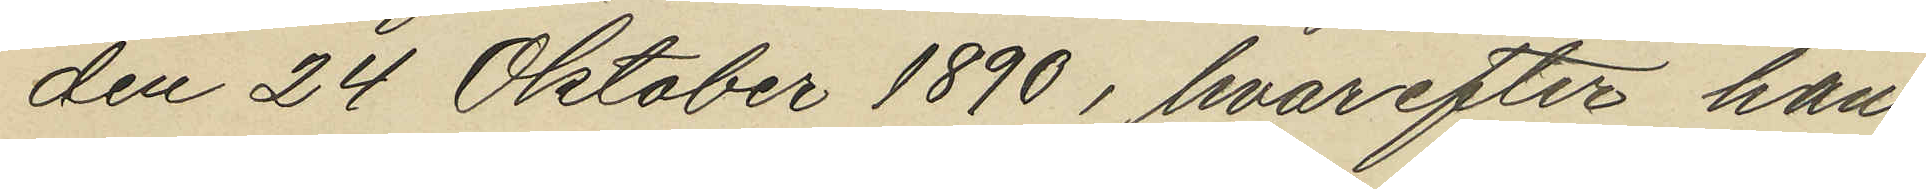den 24 Oktober 1890, hvarefter han
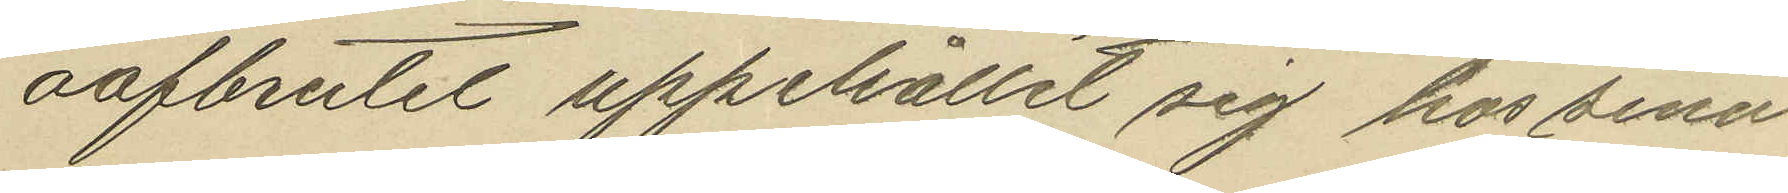oafbrutit uppehållit sig hos sina
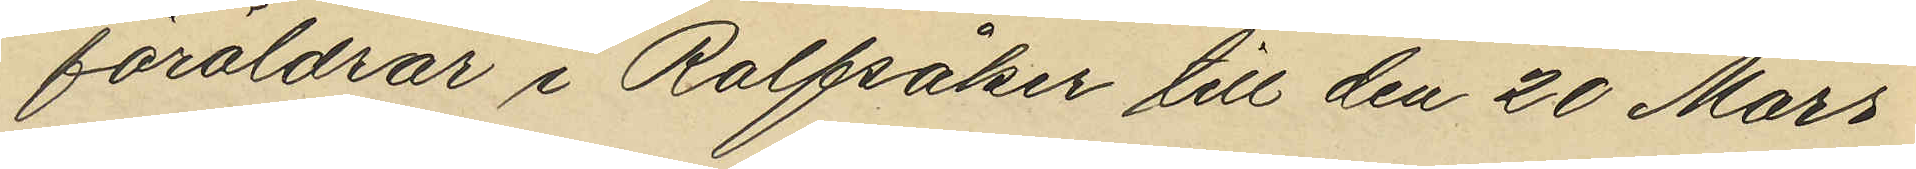föräldrar i Rolfsåker till den 20 Mars
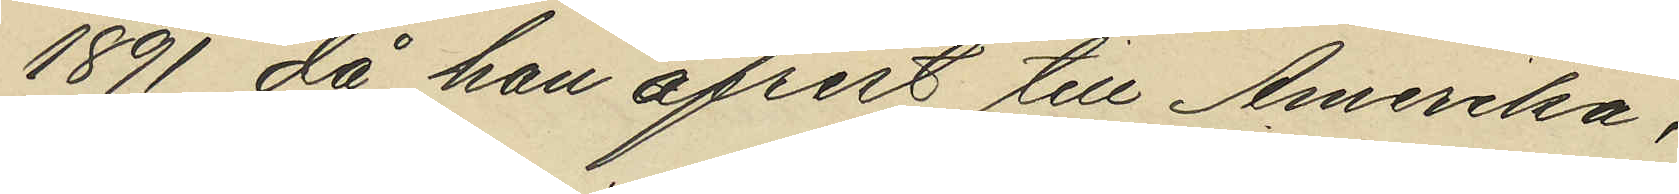1891 då han afrest till Amerika,
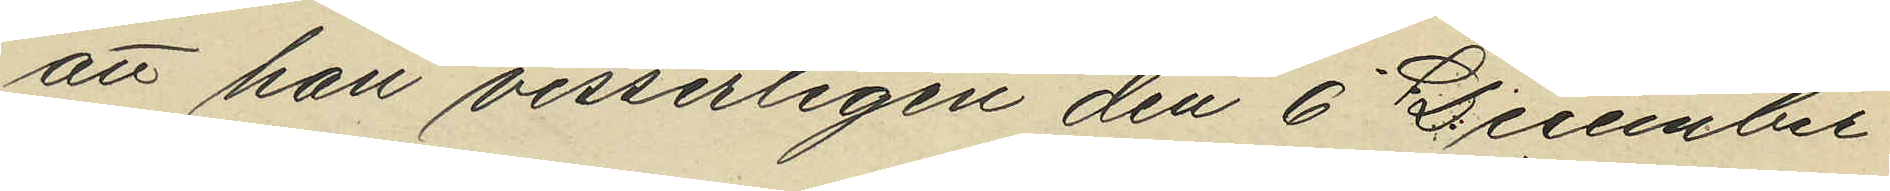att han visserligen den 6 December
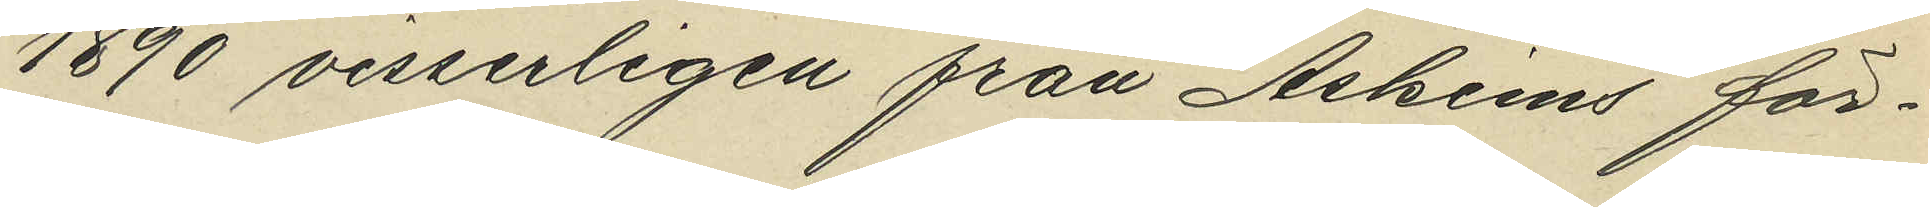1890 visserligen från Askims för¬
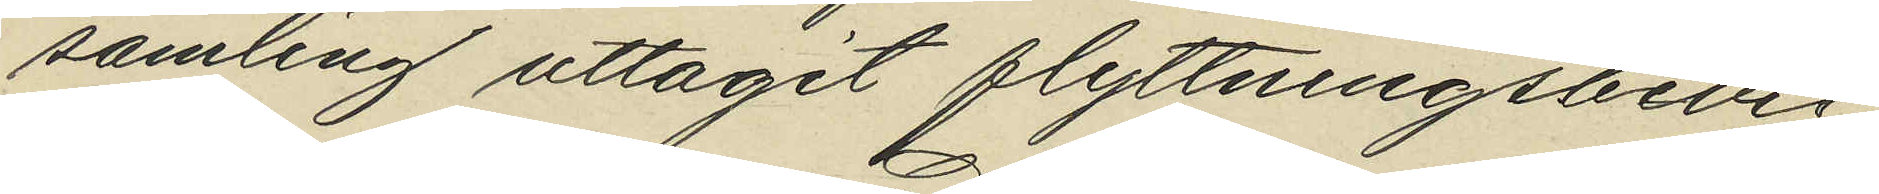samling uttagit flyttningsbevis
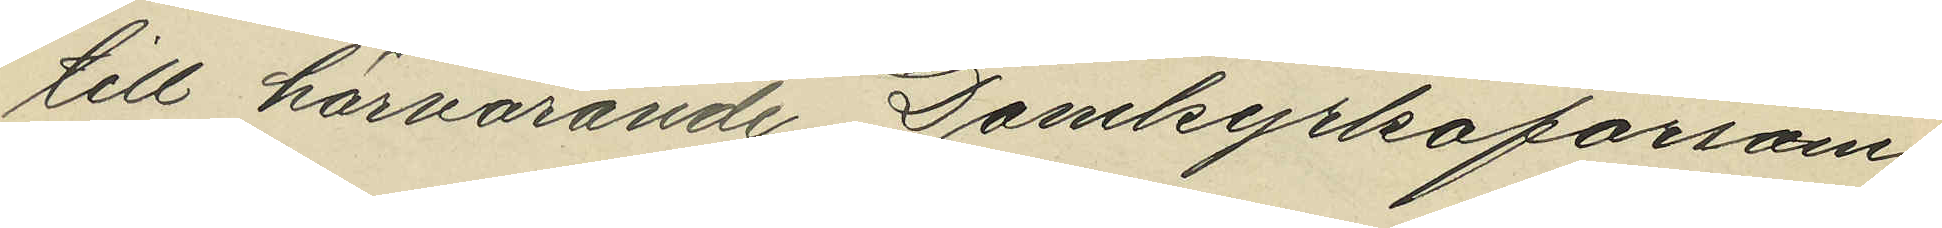till härvarande Domkyrkoförsam¬
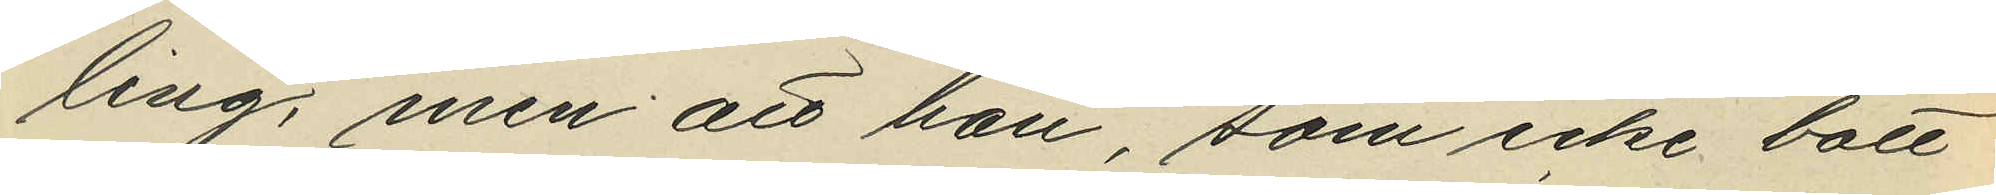ling, men att han, som icke bott
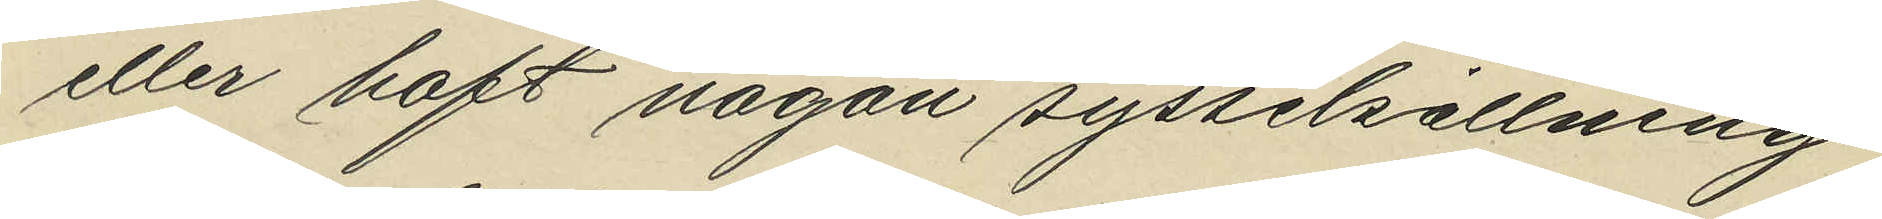eller haft någon sysselsättning
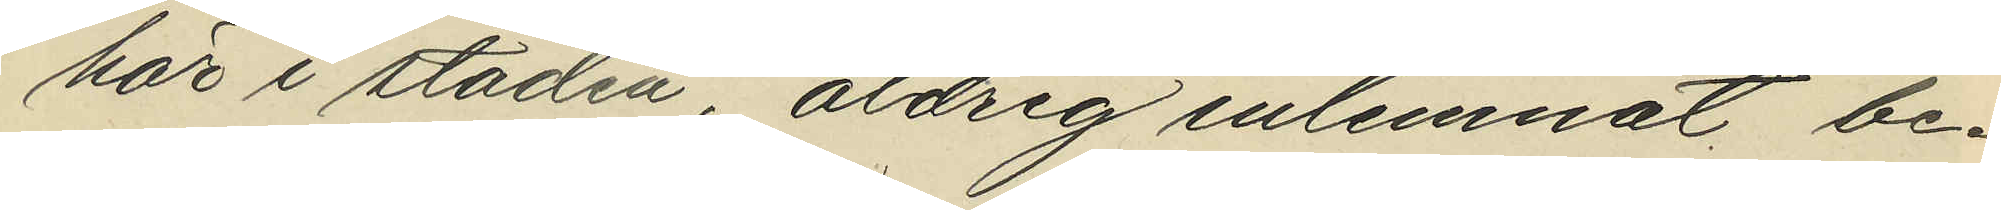här i staden, aldrig inlemnat be¬
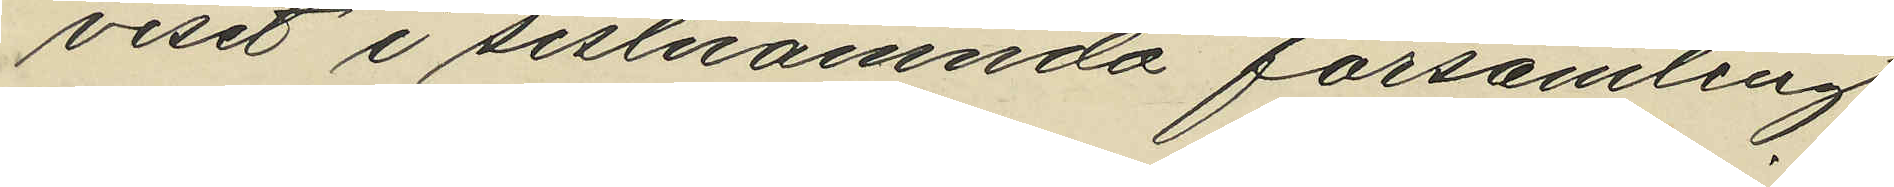viset i sistnämnda församling
